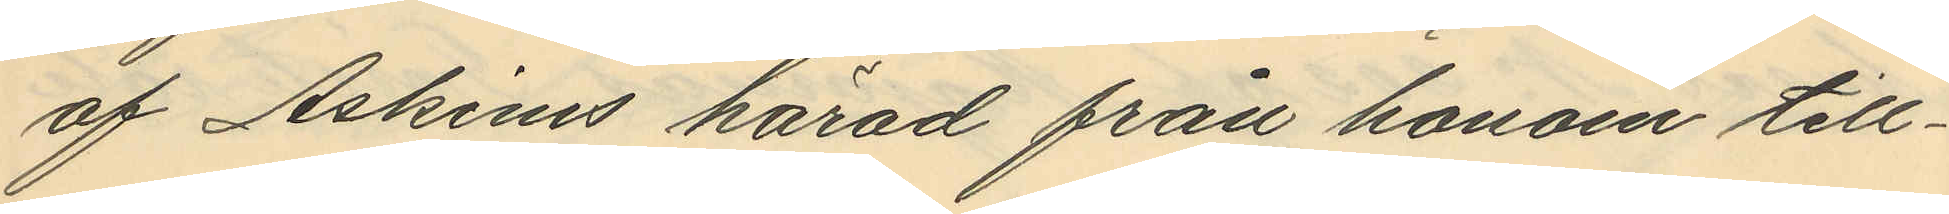af Askims härad från honom till¬
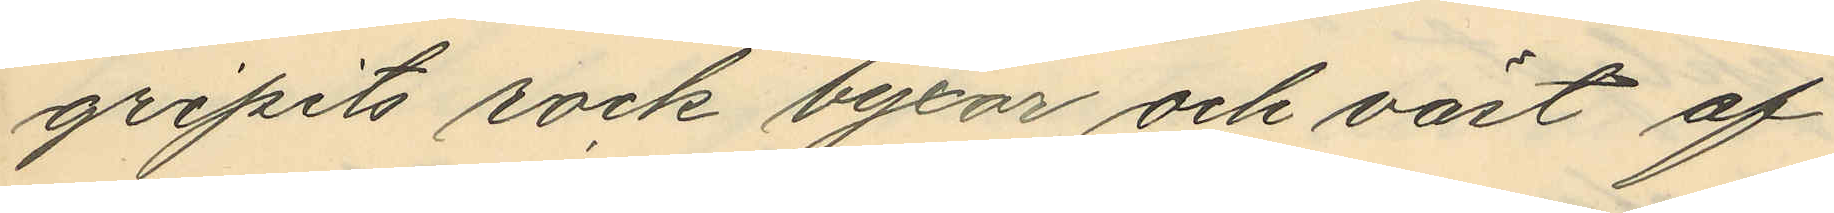gripits rock, byxor och väst af
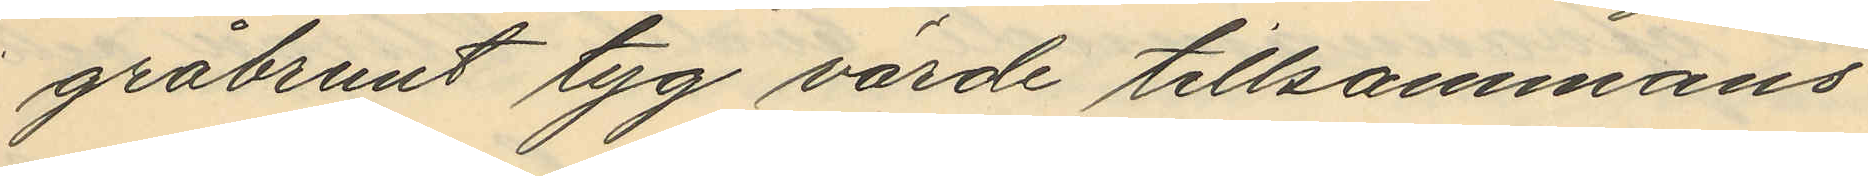gråbrunt tyg värde tillsammans
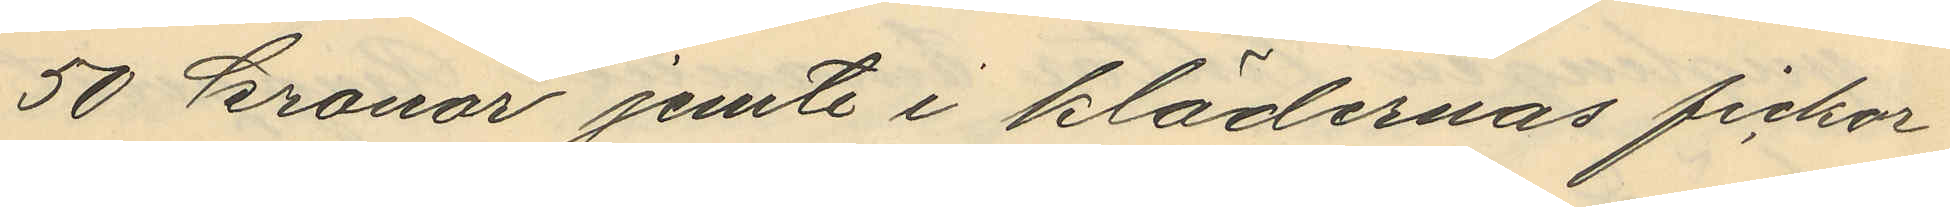50 kronor jemte i klädernas fickor
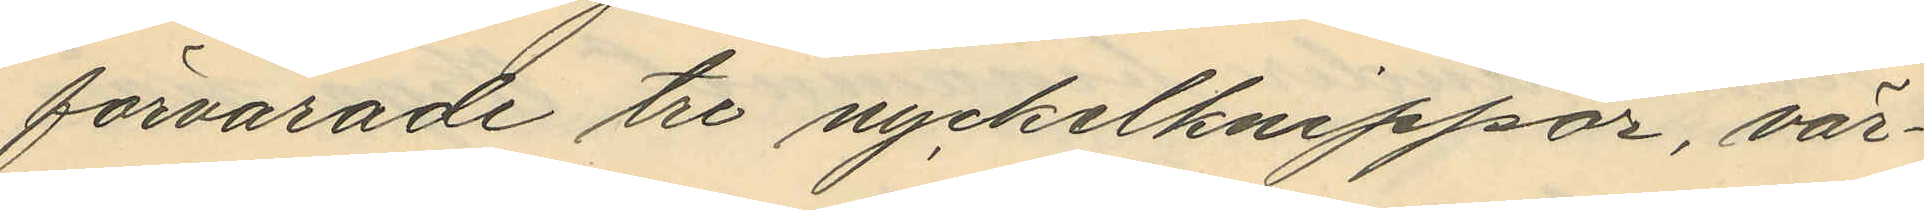förvarade tre nyckelknippor, vär¬
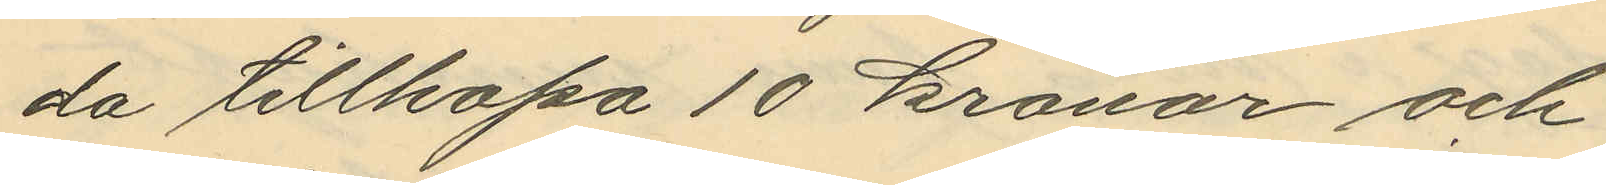da tillhopa 10 kronor och
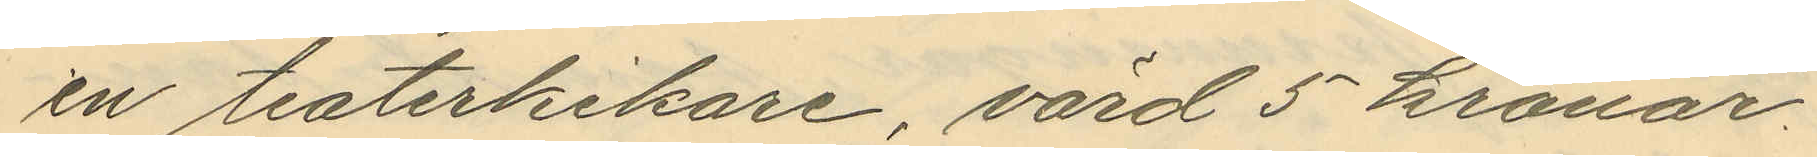en teaterkikare, värd 5 kronor.
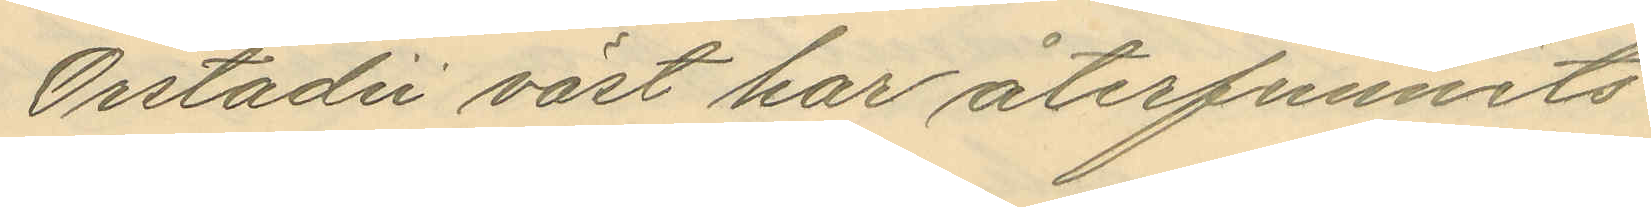Orrstadii väst har återfunnits
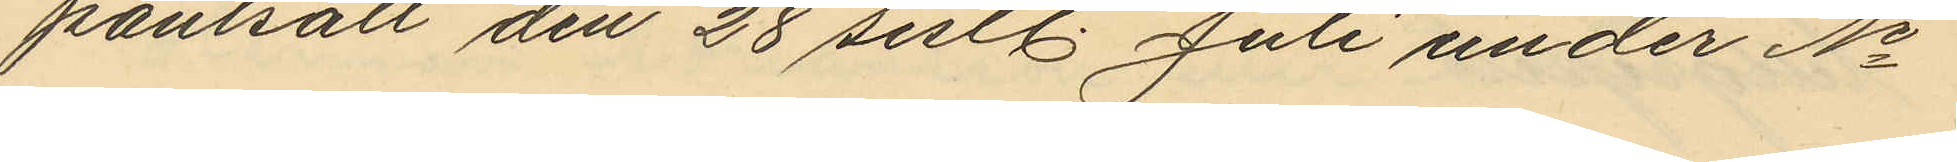pantsatt den 28 sistl. Juli under No
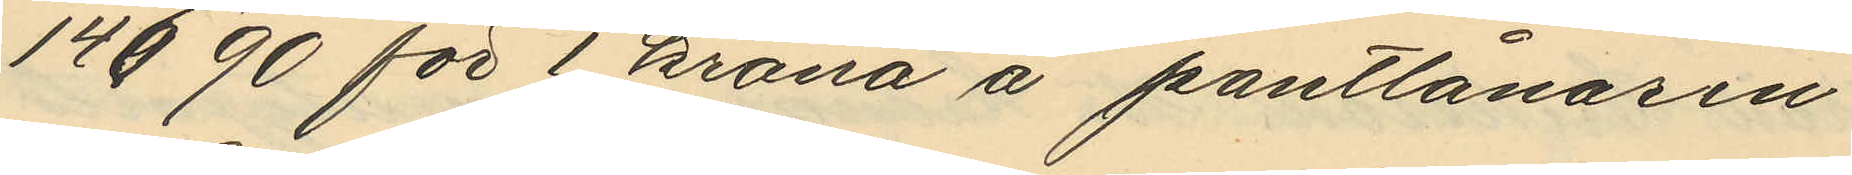14690 för 1 krona å pantlånaren
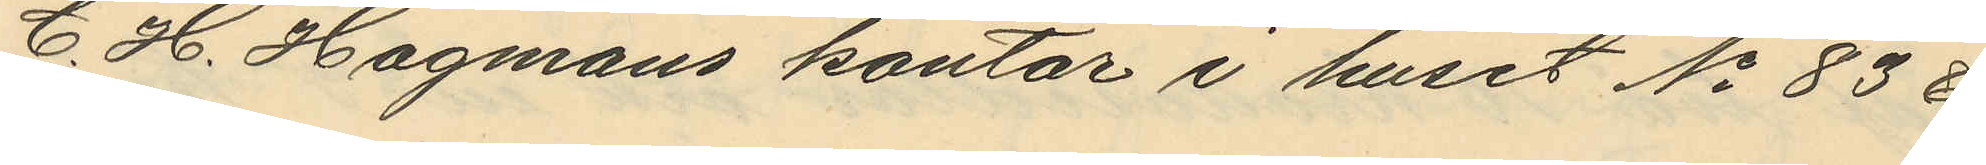C. H. Hagmans kontor i huset No 83 &
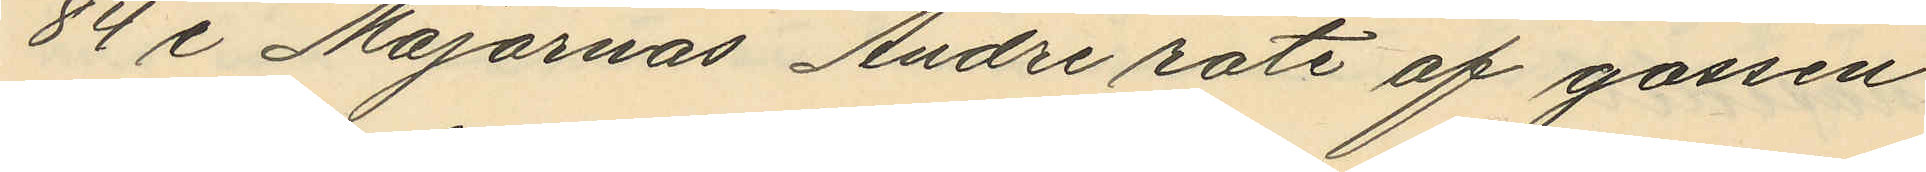84 i Majornas Andre rote af gossen
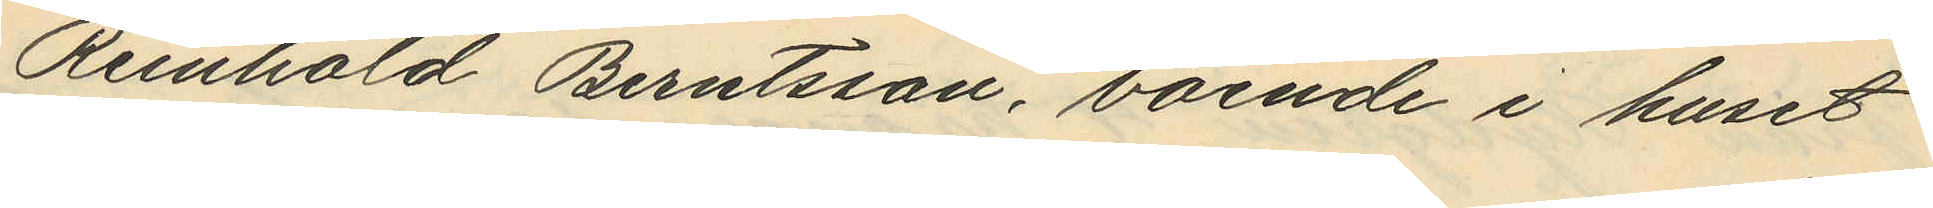Reinhold Berntsson, boende i huset
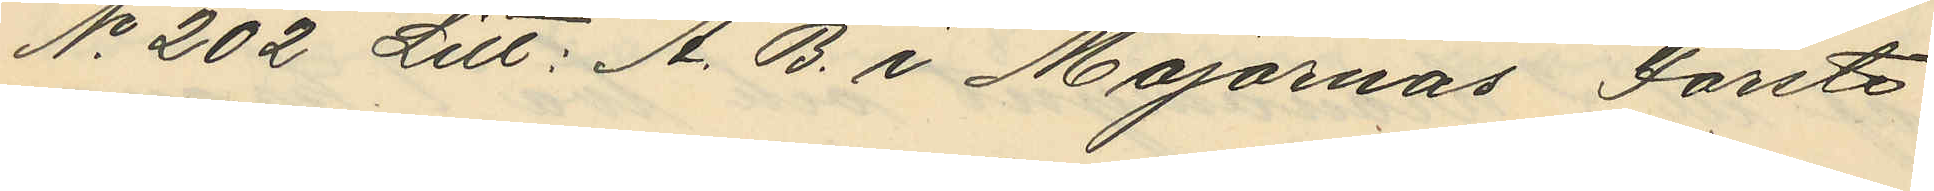No 202 Litt: A. B. i Majornas Förste
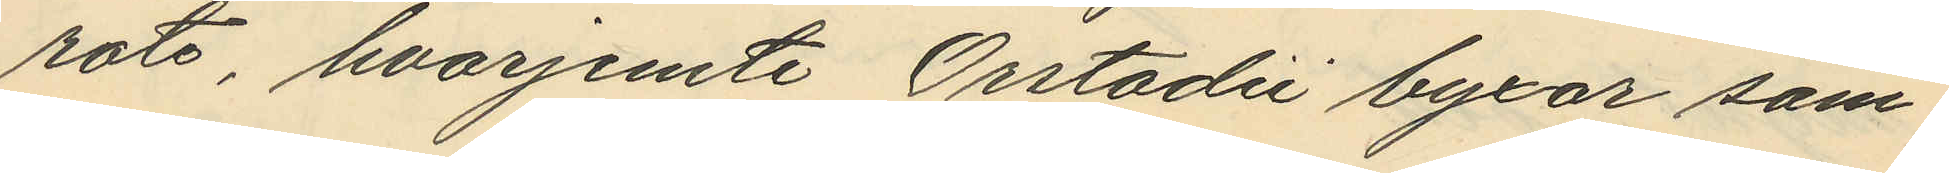rote, hvarjemte Orstadii byxor sam¬
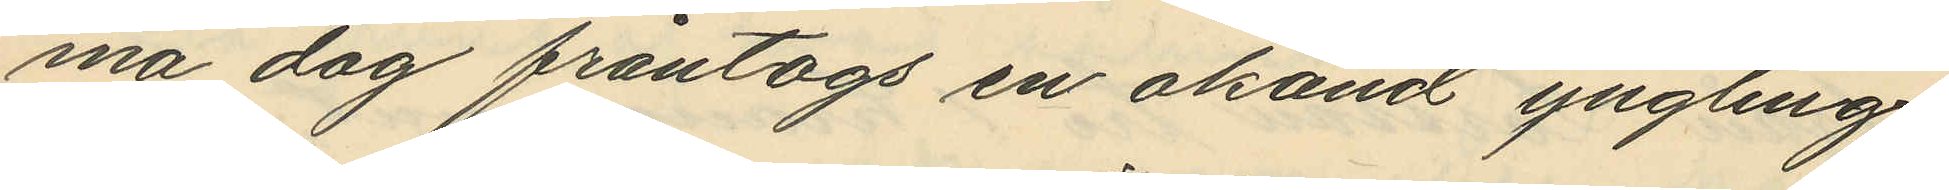ma dag fråntogs en okänd yngling
